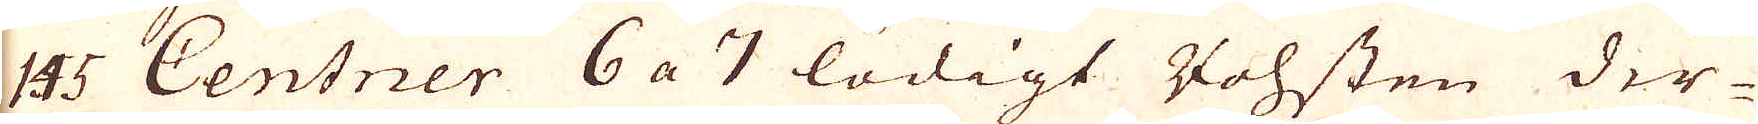145 Centner 6 a 7 lödigt Vohsten der-
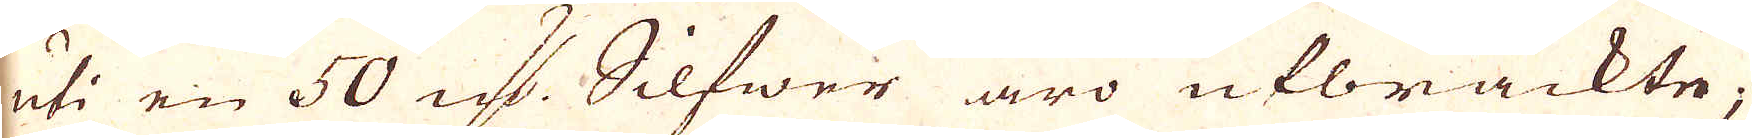uti en 50 qv:r Silfwer äro utbräckte,
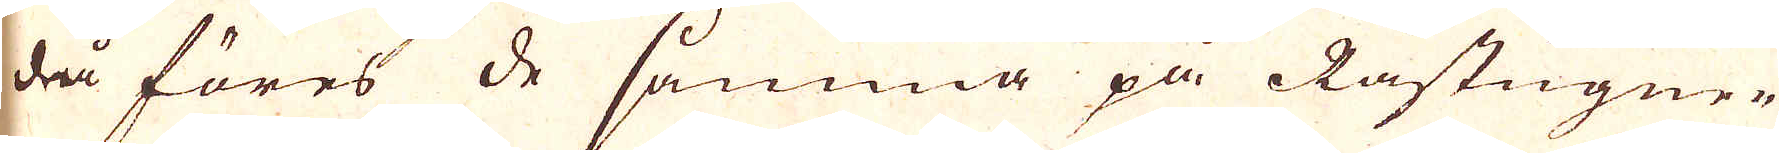då föres de samma på Råstugner
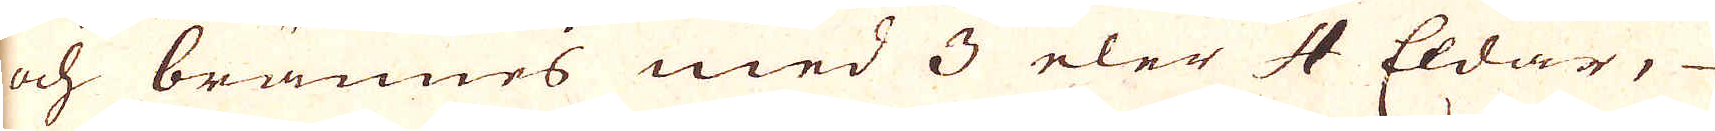och brännes med 3 eler 4 Eldar,
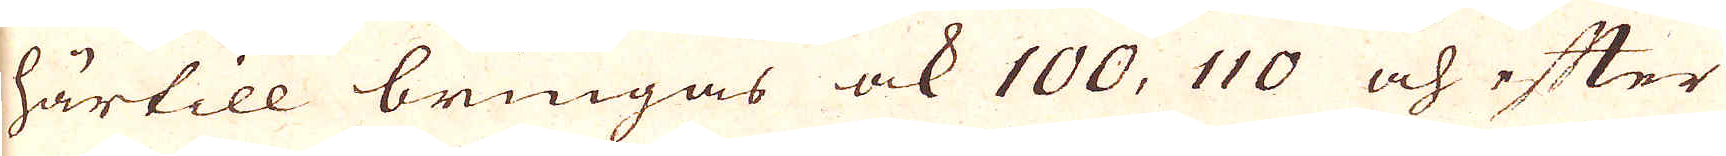härtill bringas ock 100, 110 och efter
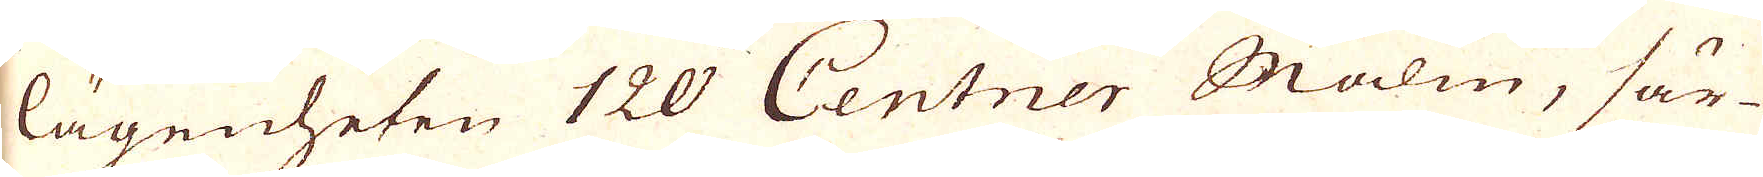lägenheten 120 Centner Malm, sär-
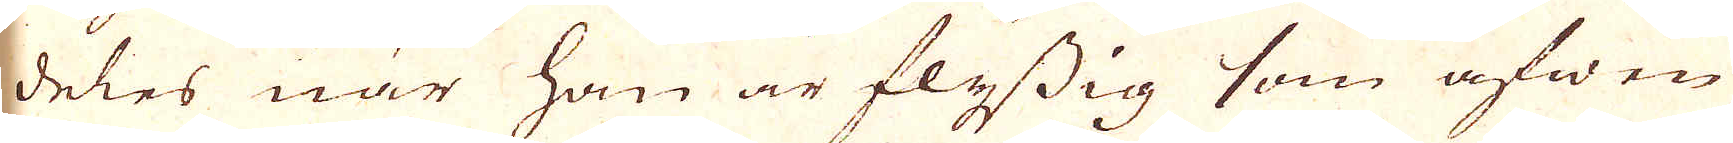deles när han är flåssig som äfwen
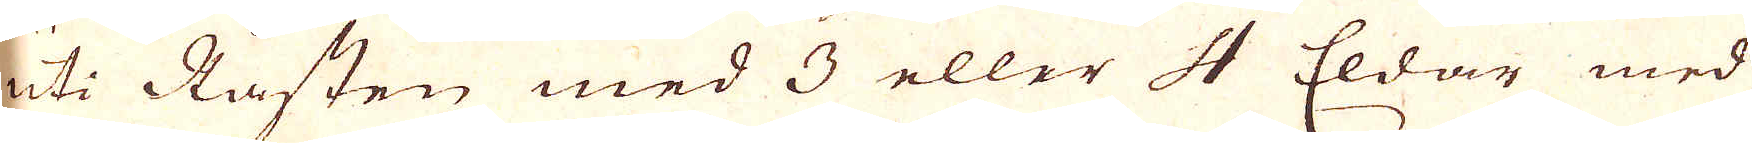uti Råsten med 3 eller 4 Eldar med
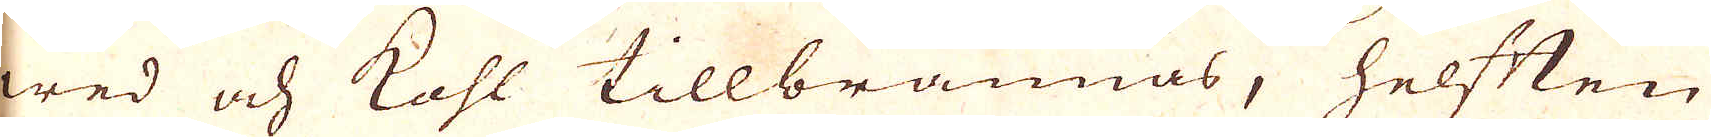wed och kohl tillbrännas, helften
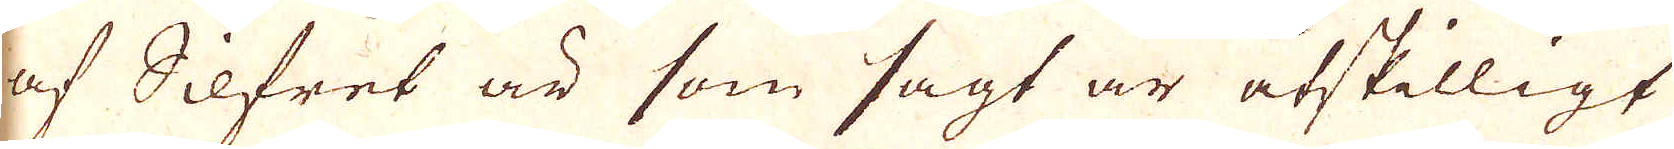af Silfret är som sagt är åtskilligt
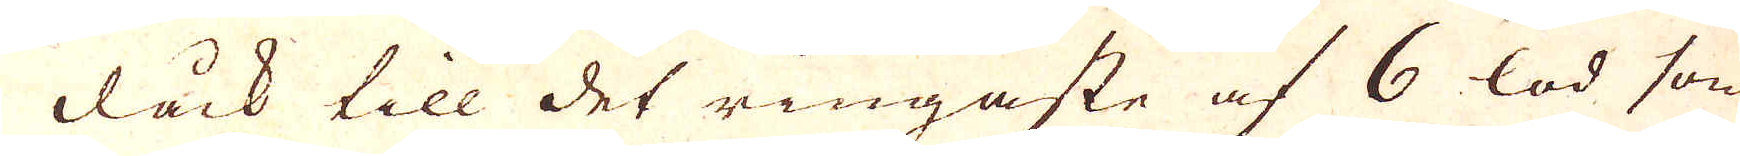dåck till det ringaste af 6 lod som
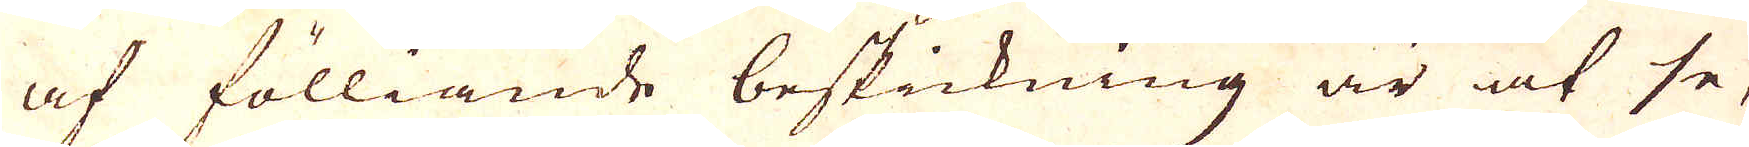af fölliande beskickning är at se,
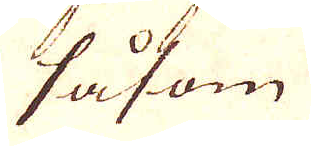såsom
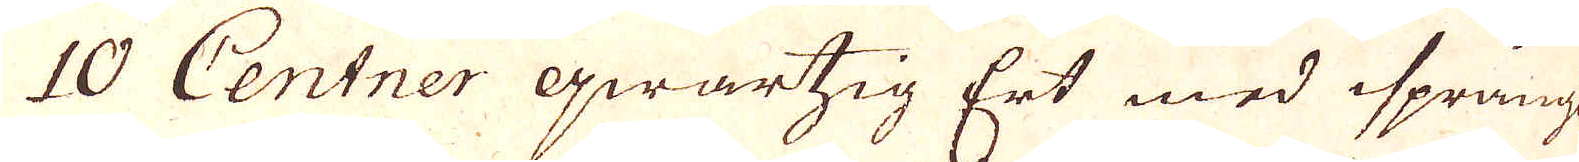10 Centner qwartsig Ert med isprång
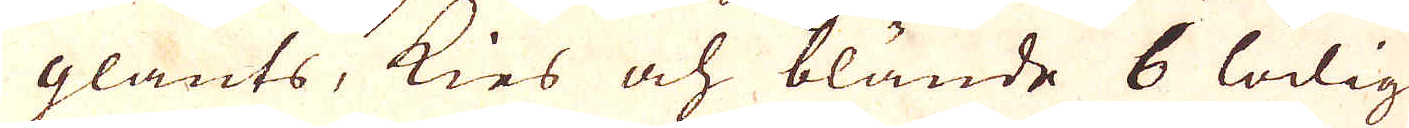glants, kies och blände 6 lödig
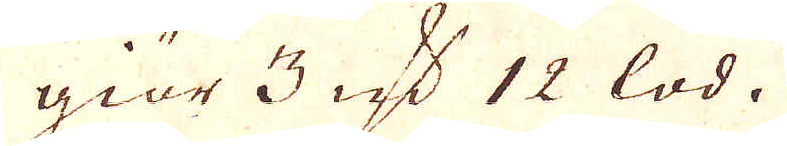giör 3 qv:r 12 lod.
